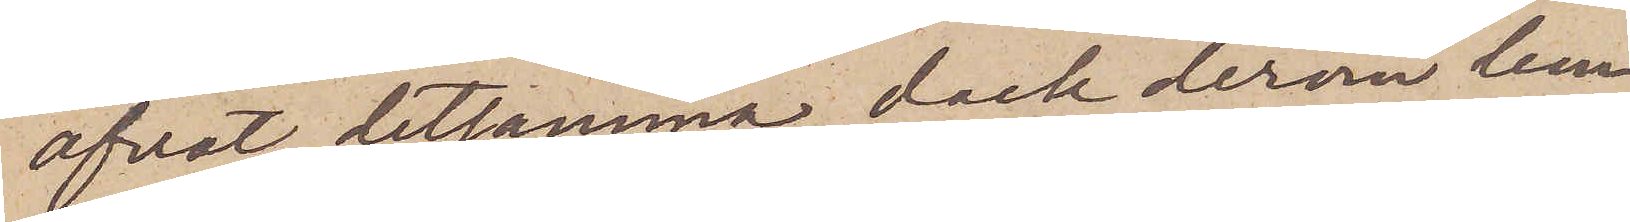öfvat detsamma, dock derom lem¬
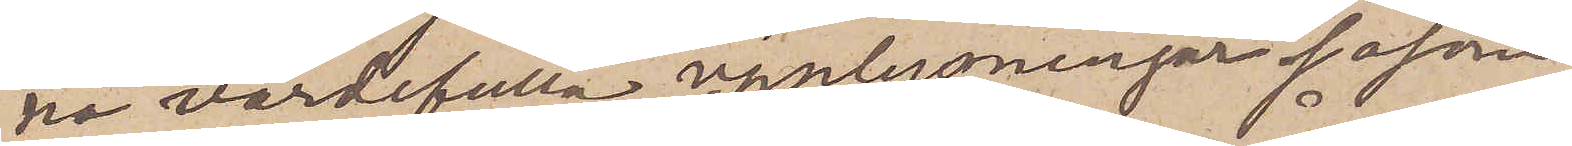na värdefulla upplysningar såsom
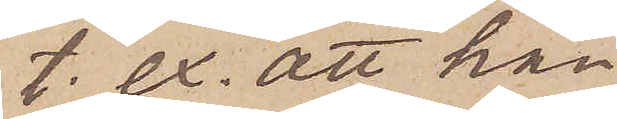t. ex. att han
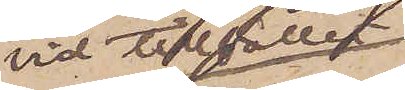vid tillfället
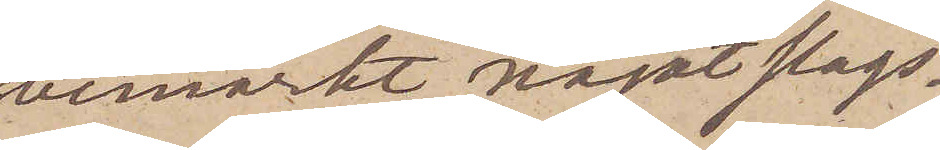bemärkt något slags¬
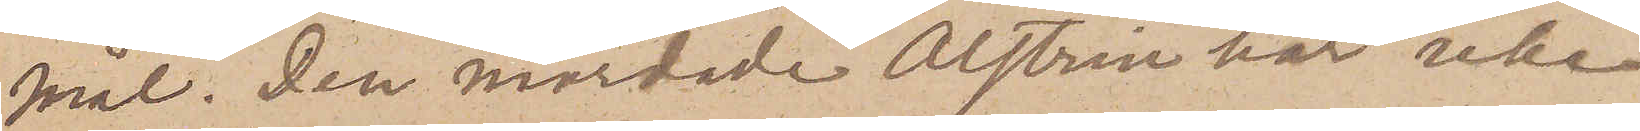mål. Den mördade Alstrin har icke
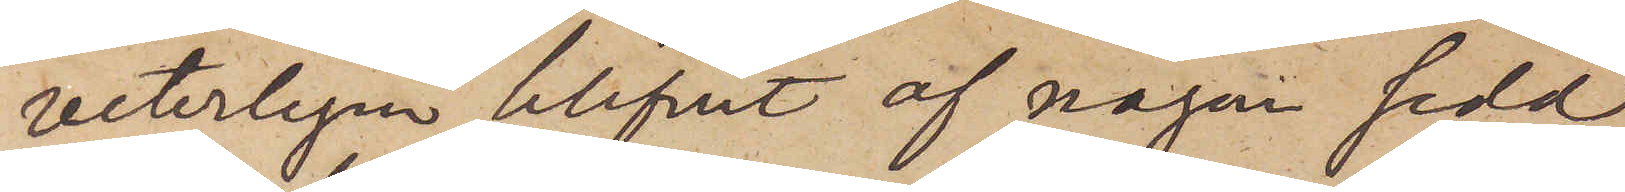veterligen blifvit af någon sedd
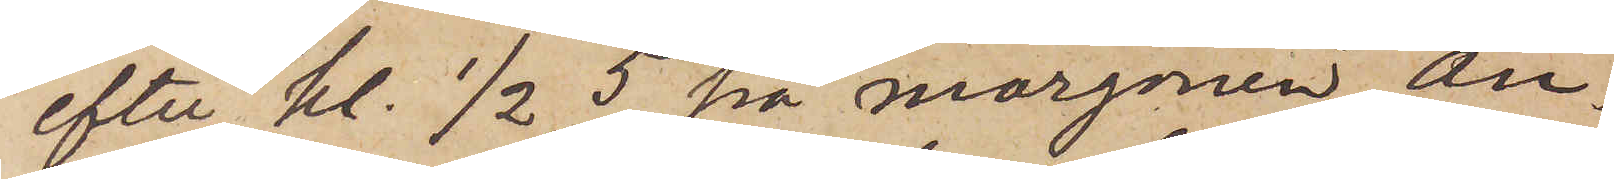efter kl. 1/2 5 på morgonen An¬
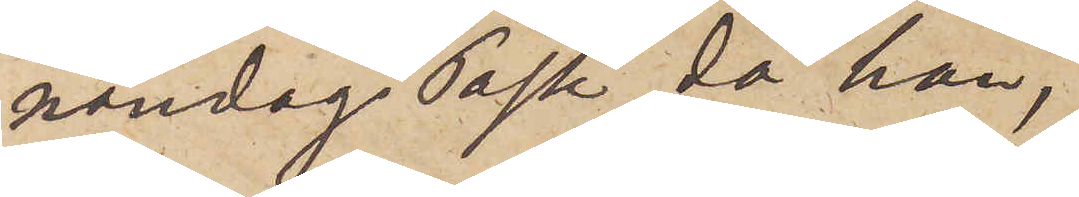nandag Påsk, då han,
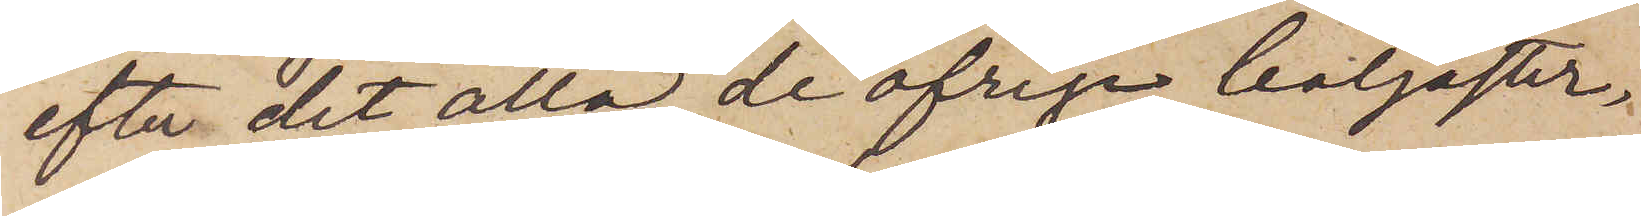efter det alla de öfriga badgäster¬
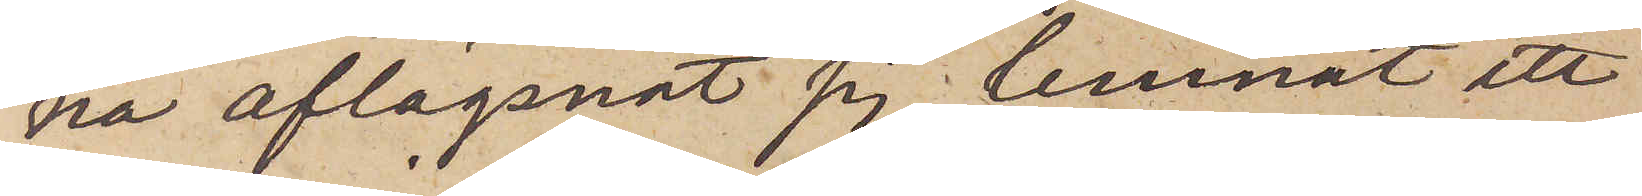na aflägsnat sig, lemnat ett
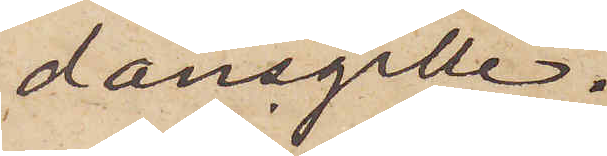dansgille.
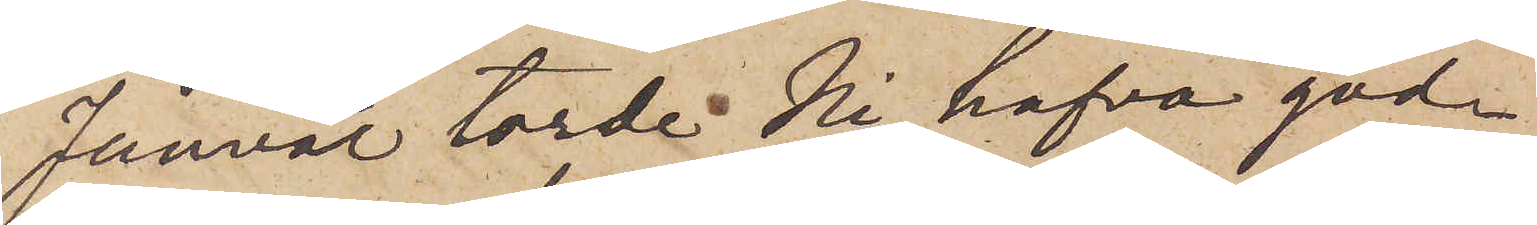Jänväl torde Ni hafva god¬
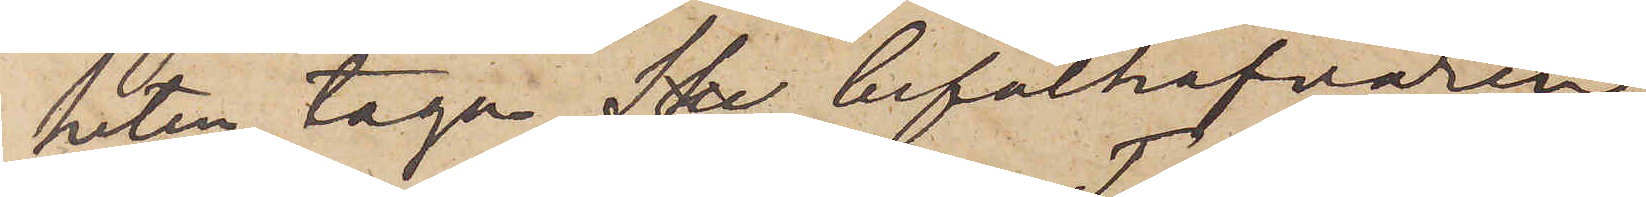heten taga befälhafvaren
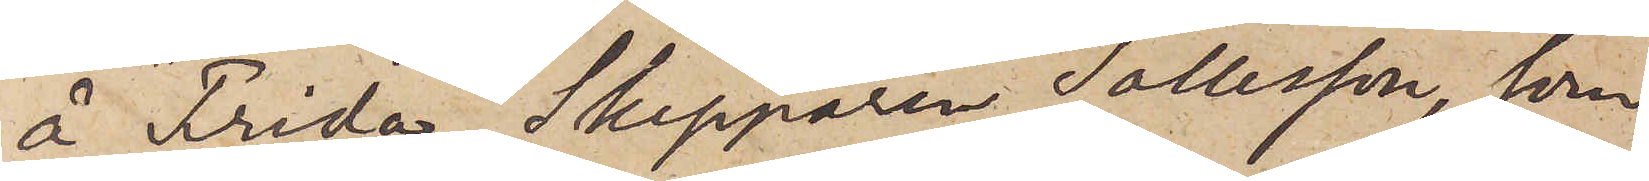å "Frida", Skepparen Tollesson, som
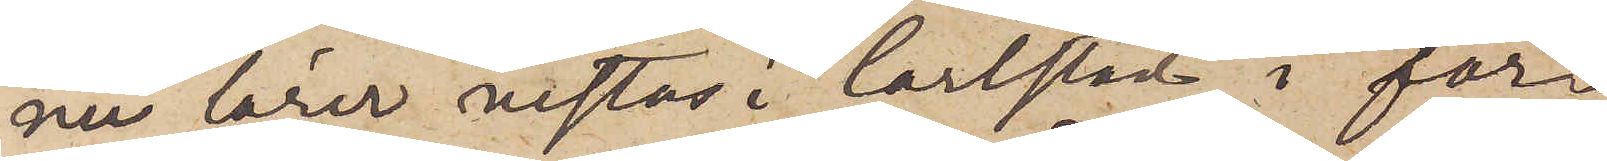nu lärer vistas i Carlstad, i för¬
